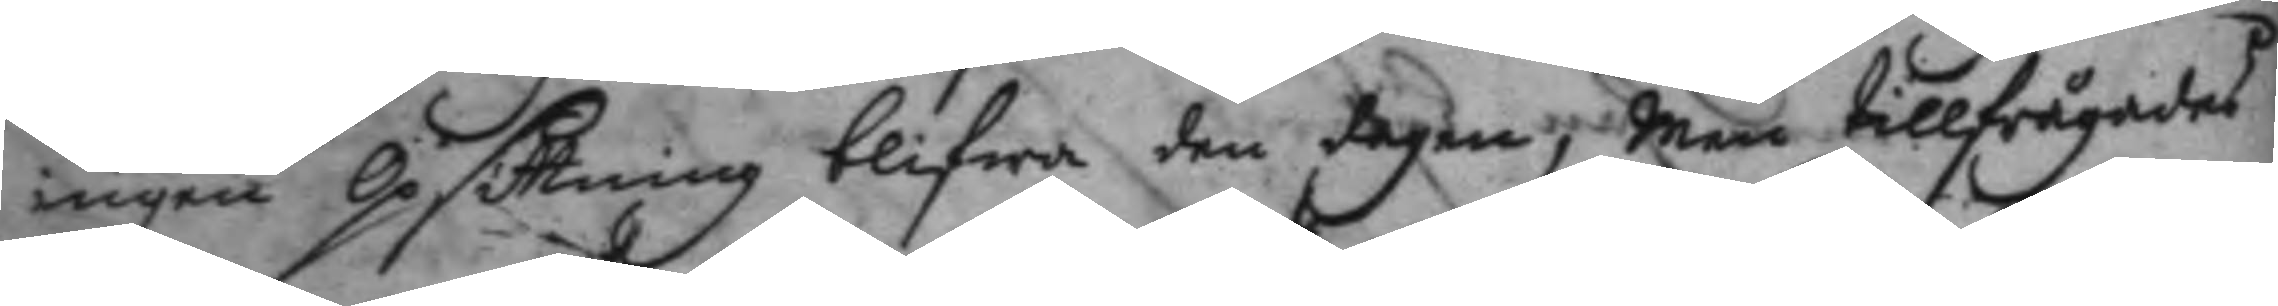ingen Opsittning blifwa den dagen, Men tillfrågades
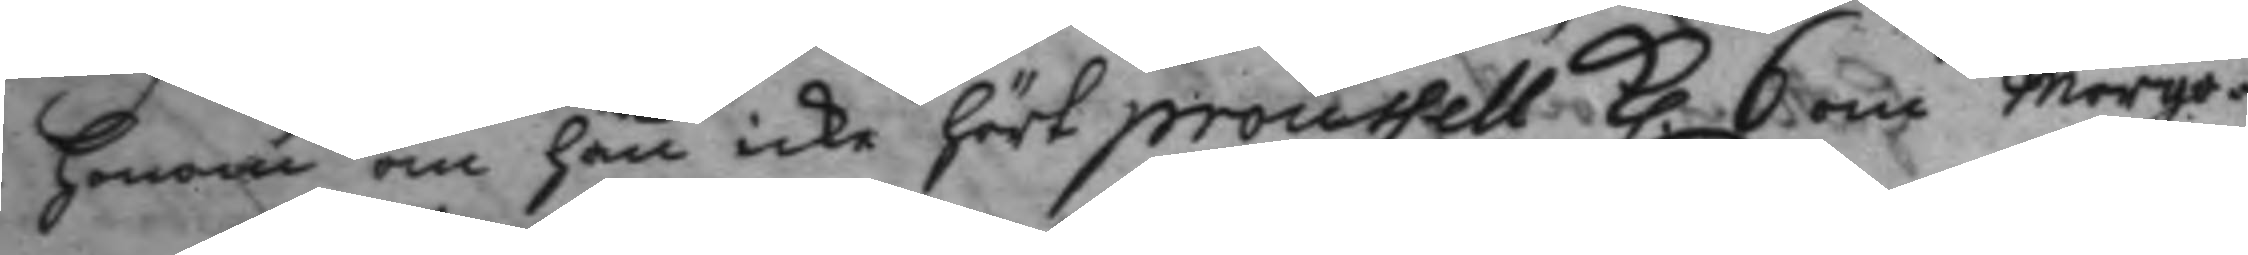honom om han icke hört proussell Kl. 6 om morgo¬
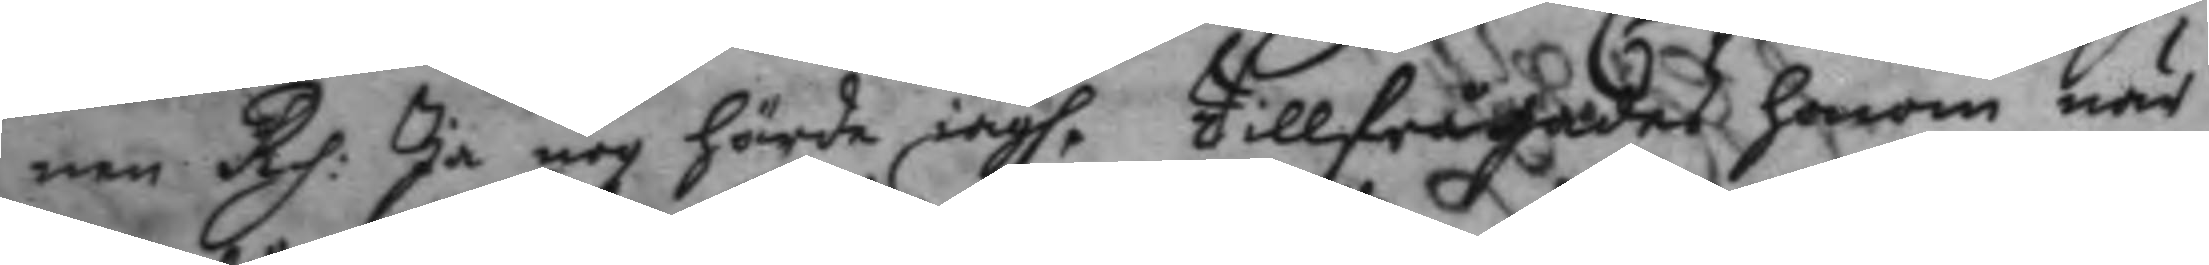nen Rp. Ja nog hörde iagh. Tillfrågades honom när
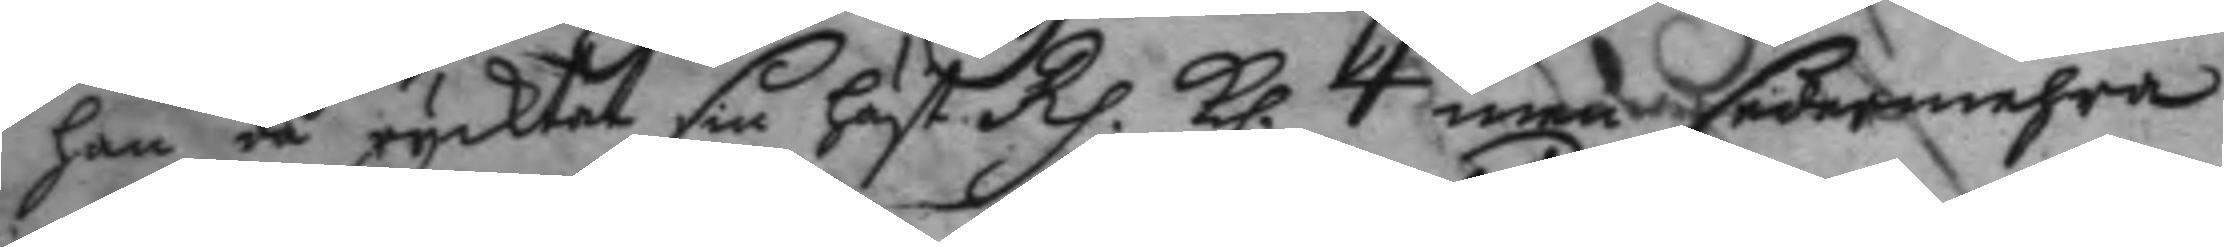han då rycktat sin häst Rp. Kl. 4 men sedermehra
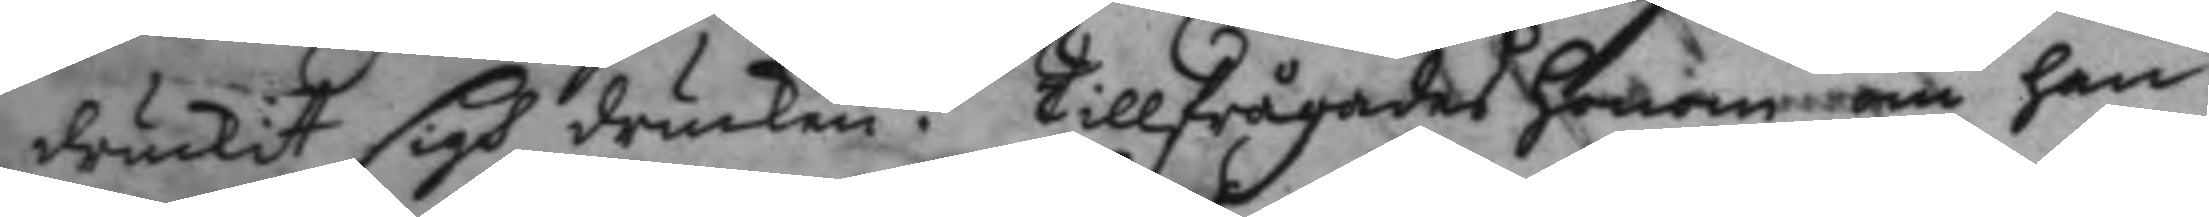druckit sigh drucken. Tillfrågades honom om han
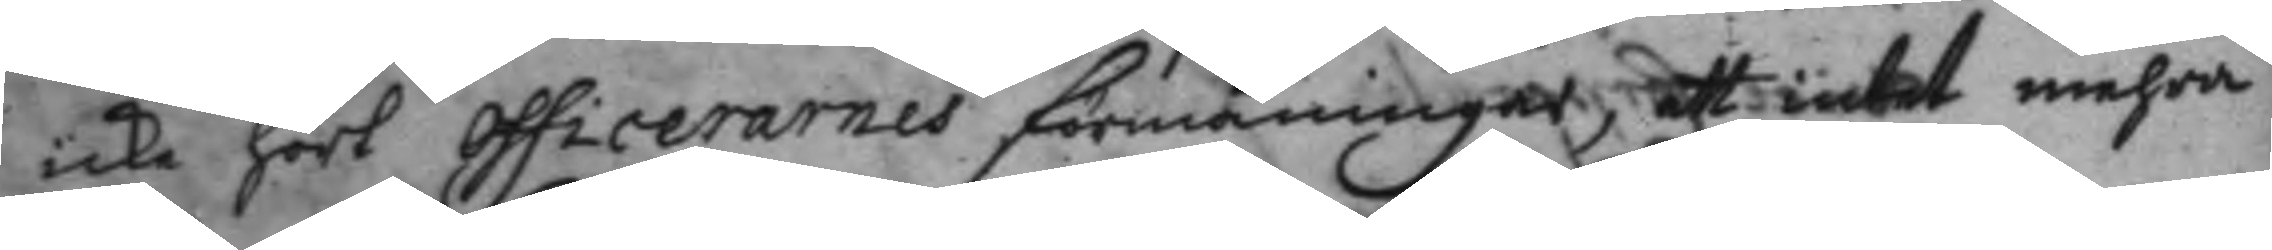icke hört officerarnes förmaningar, att intet mehra
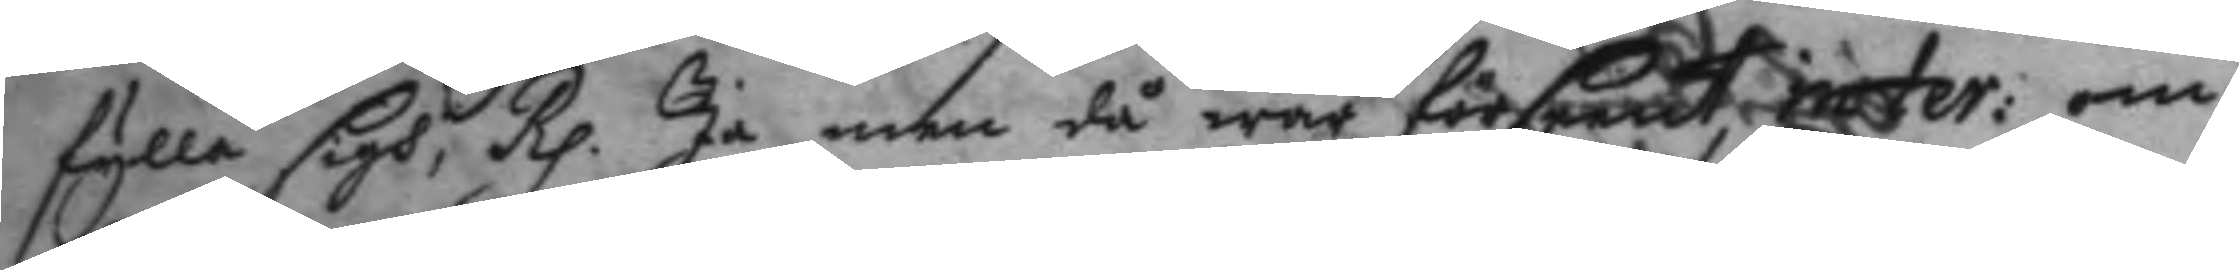fylla sigh, Rp. Ja men då war förseent inter: om
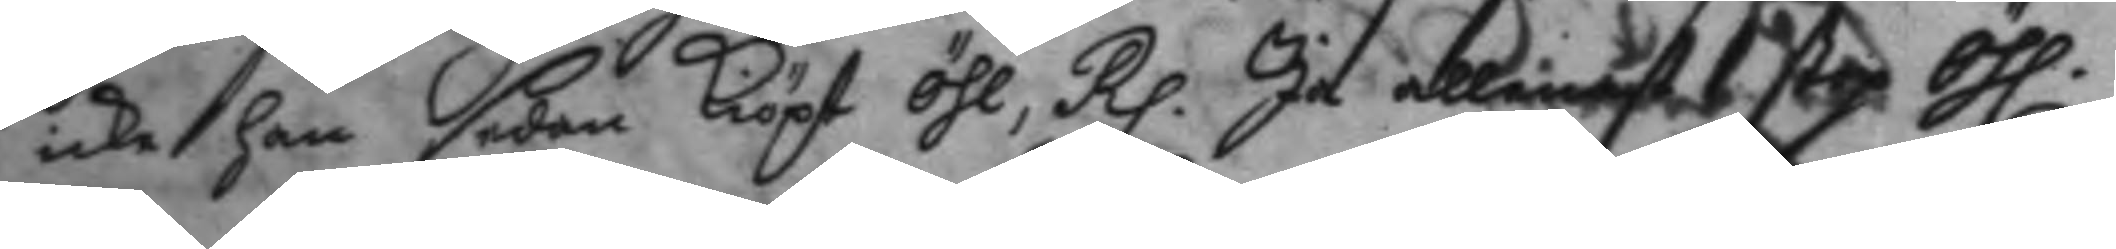icke han sedan Kiöpt öhl, Rp. Ja allenast 1 stop Öhl.
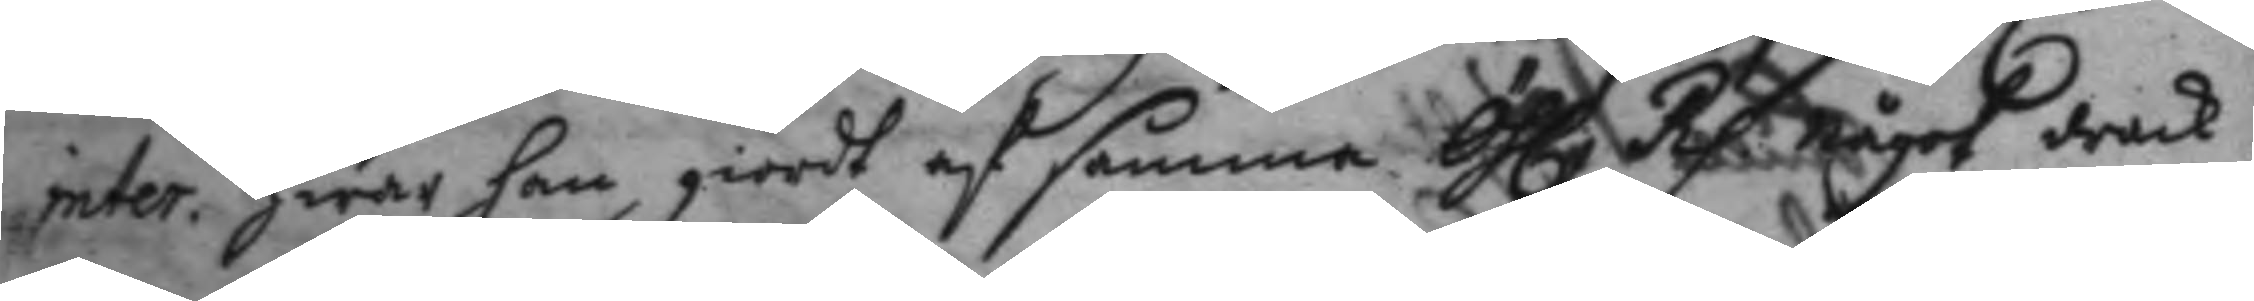inter. hwar han giordt af samma Öhl. Rp. något drack
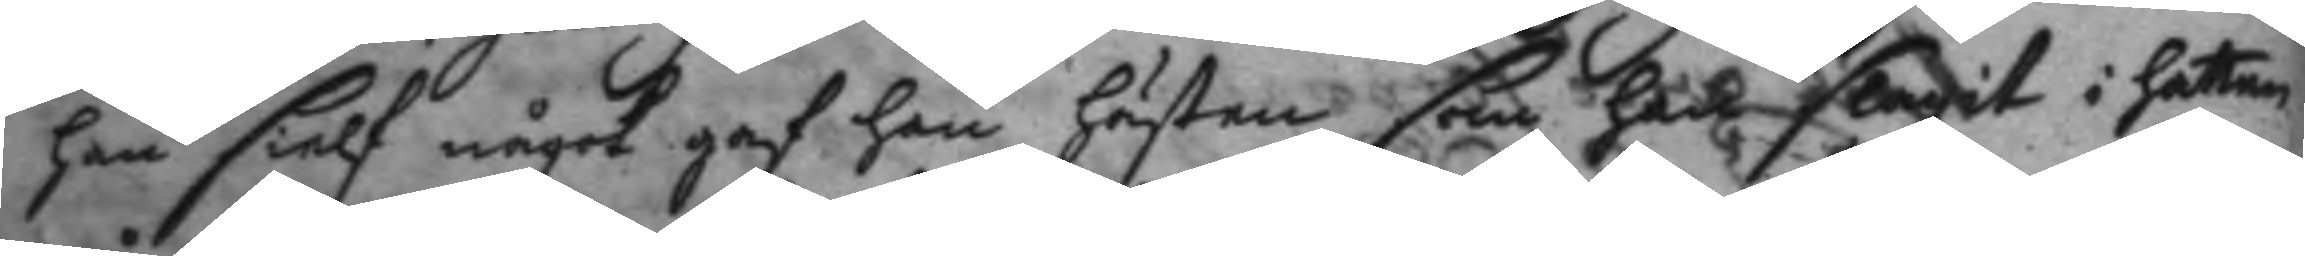han sielf något gaf han hästen som han slagit i hatten
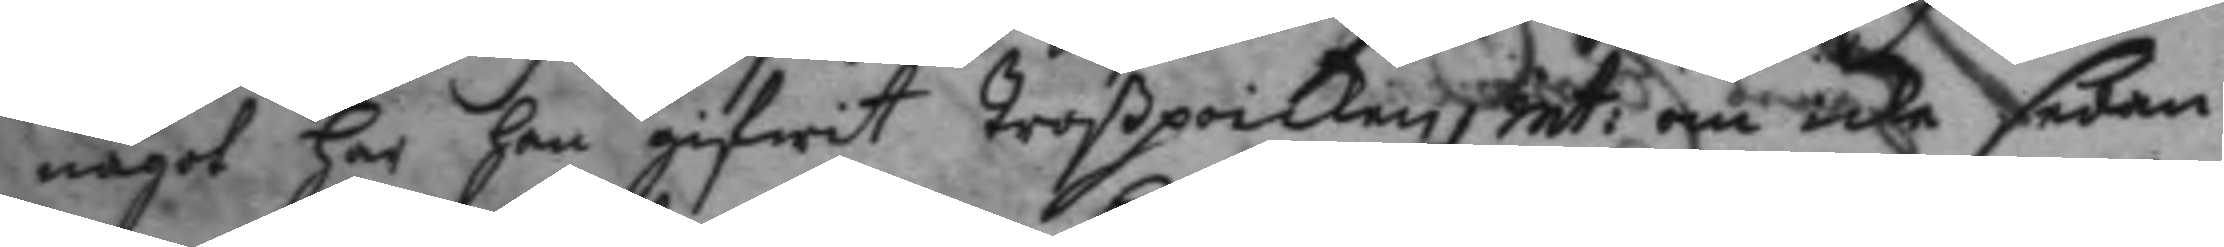något har han gifwit troßpoiken, int: om icke sedan
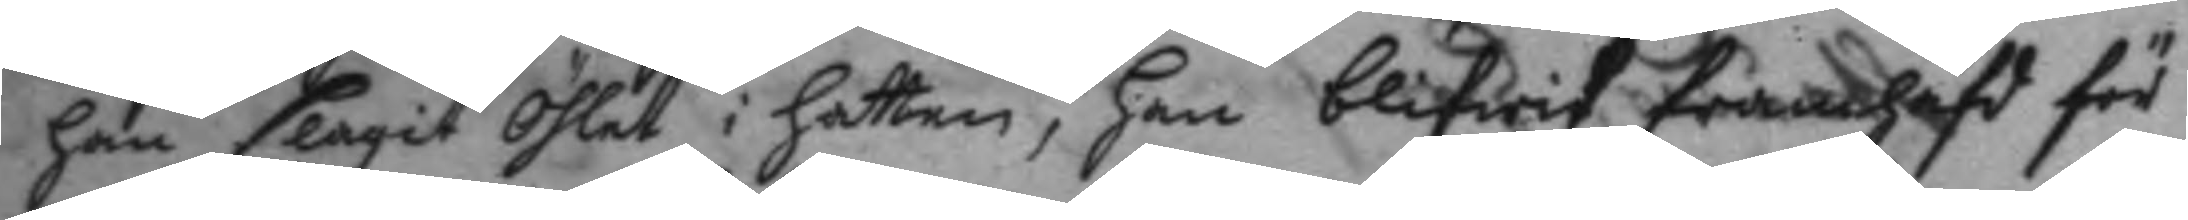han slagit Öhlet i hatten, han blifwit framhafd för
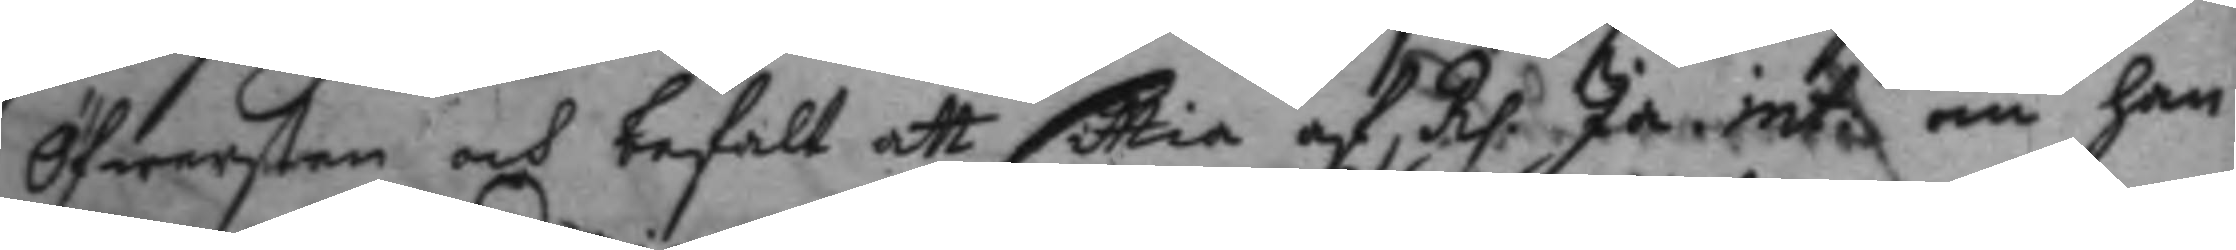Öfwersten och befalt att sittia af, Rp. Ja. int: om han
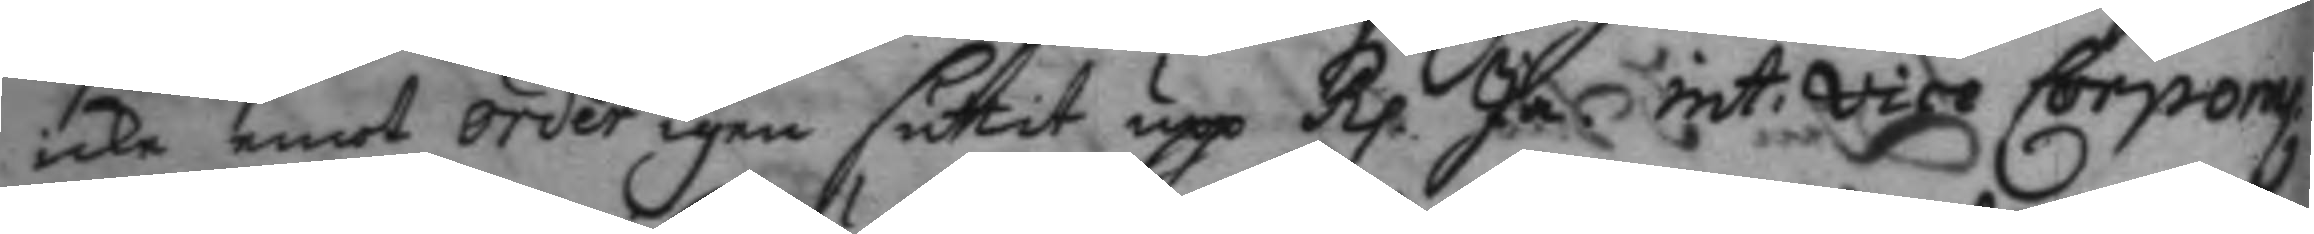icke emot order igen suttit upp Rp. Ja, int: vice Corpong
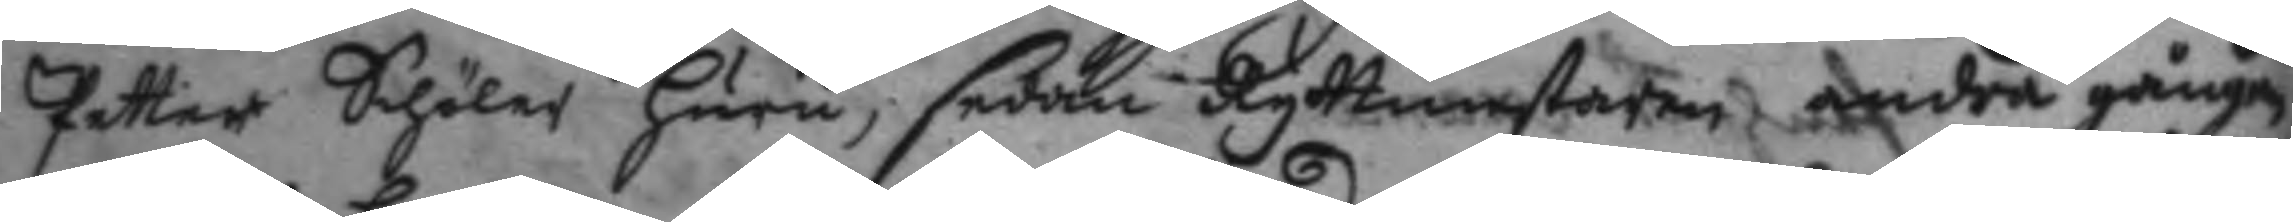Petter Schöler huru, sedan Ryttmestaren andra gången
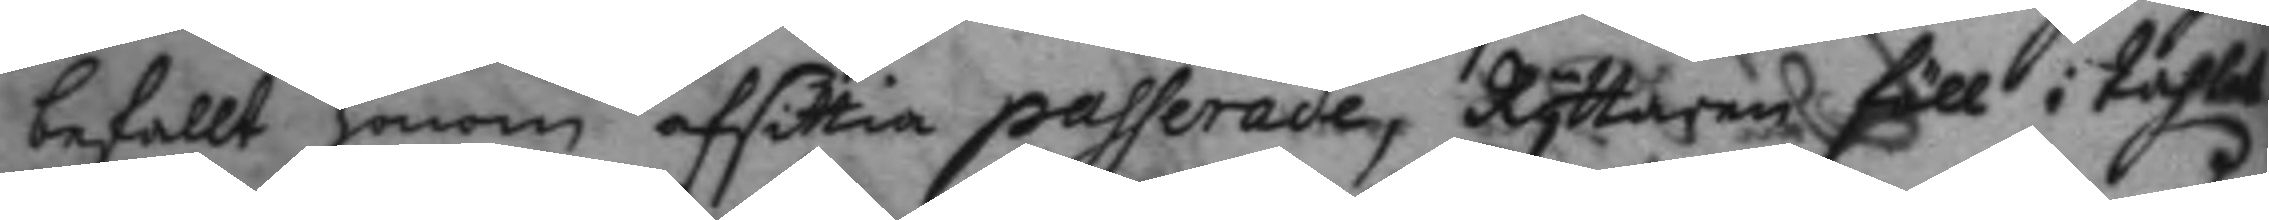befallt honom afsittia passerade, Ryttaren föll i tahlet
